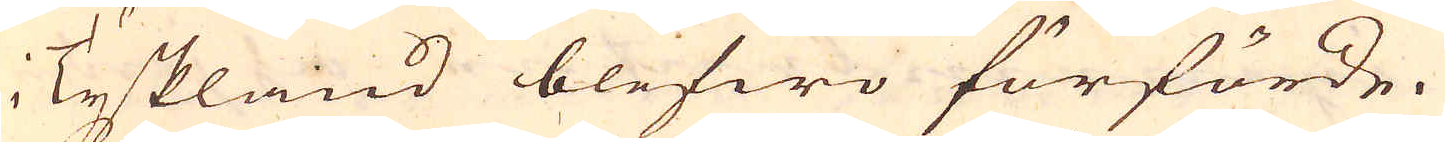i Tyskland blefwo förförde.
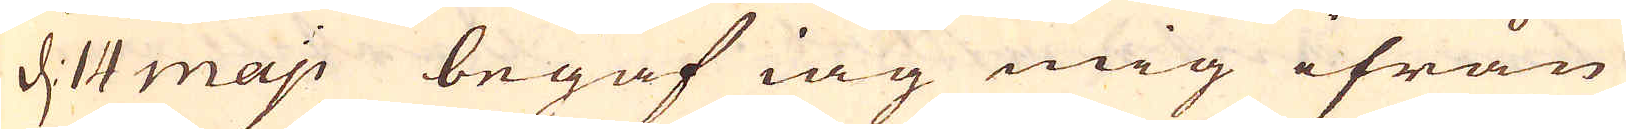d 14 maij begaf iag mig ifrån
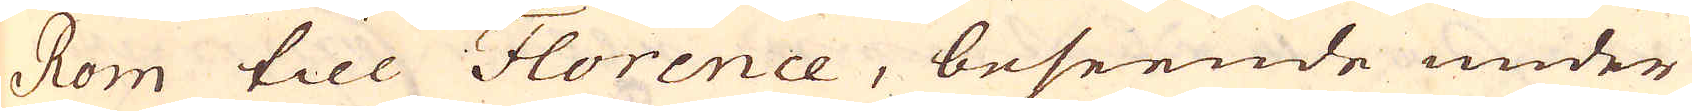Rom till Florence, beseende under
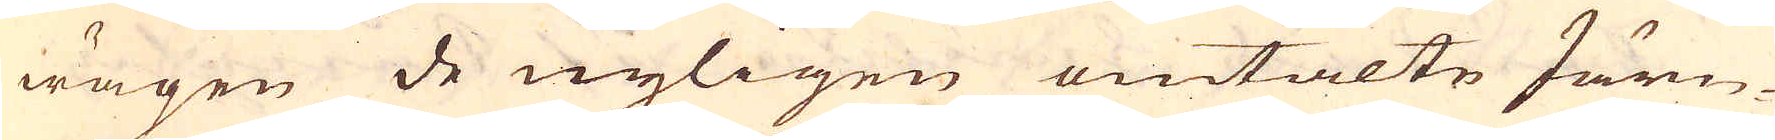wägen de nyligen omtalte Järn-
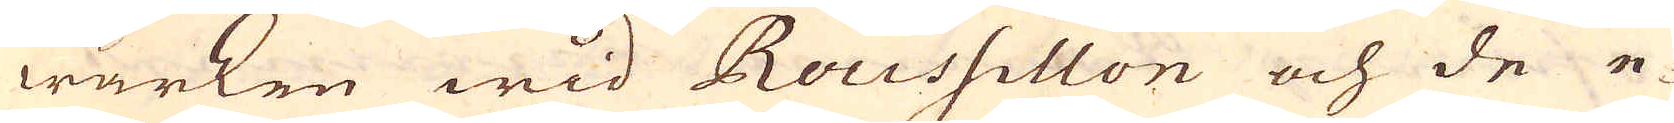wärken wid Roussillon och de e-
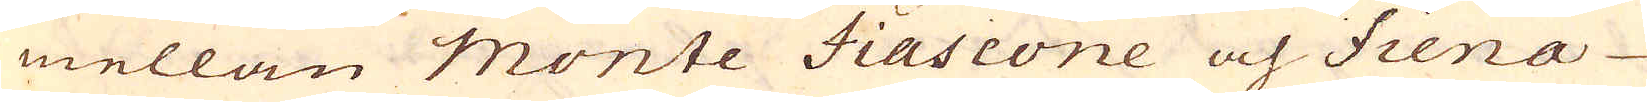mellan monte Fiascone och Siena
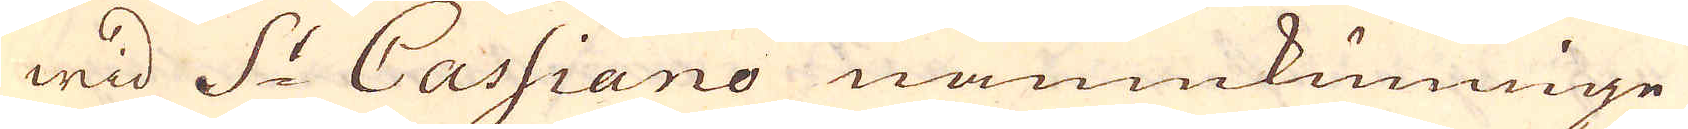wid S:t Cassiano namnkunnige
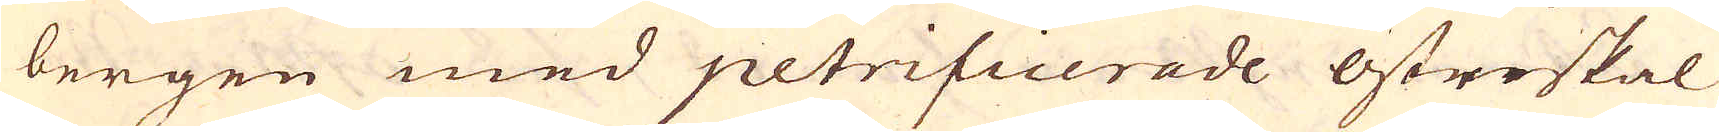bergen med petrificerade ostreskal
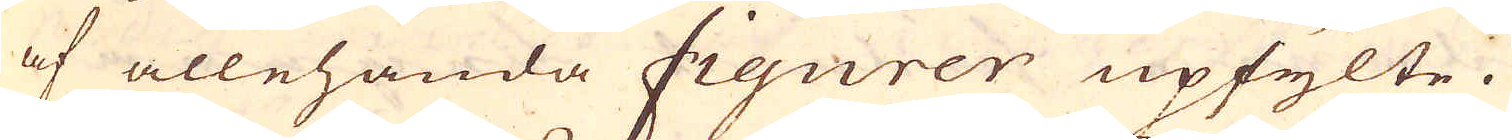af allehanda figurer upfylte.
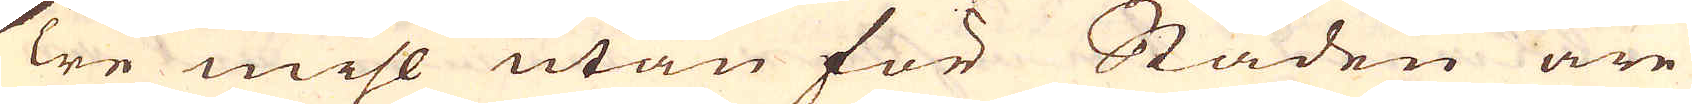Tre mihl utan för Staden äre
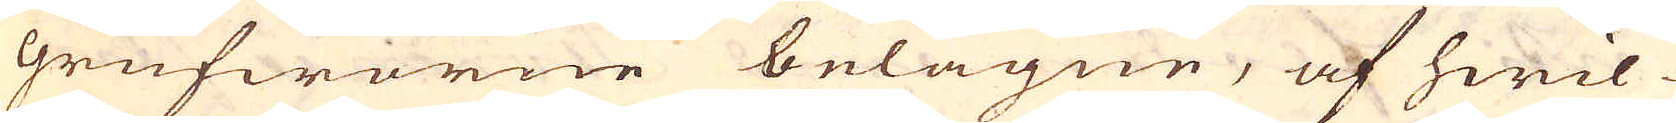grufworne belägne, af hwil-
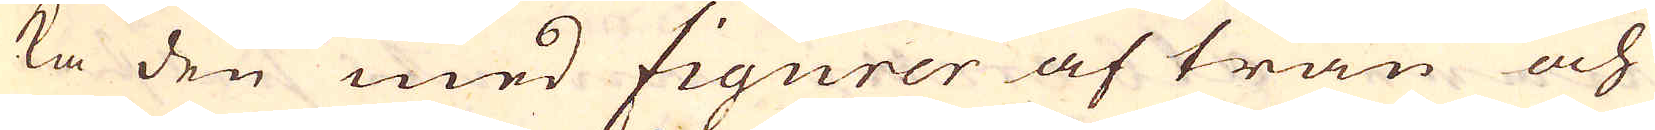ka den med figurer af trän och
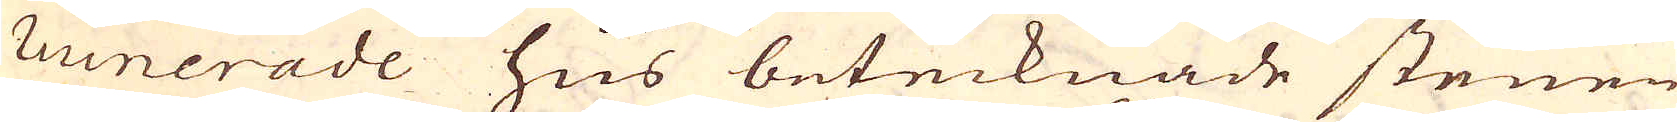ruinerade hus betecknade stenen
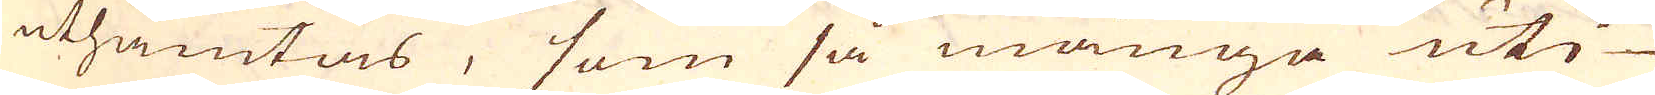uthämtas, som så många uti
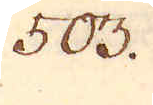503.
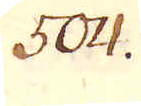504.
